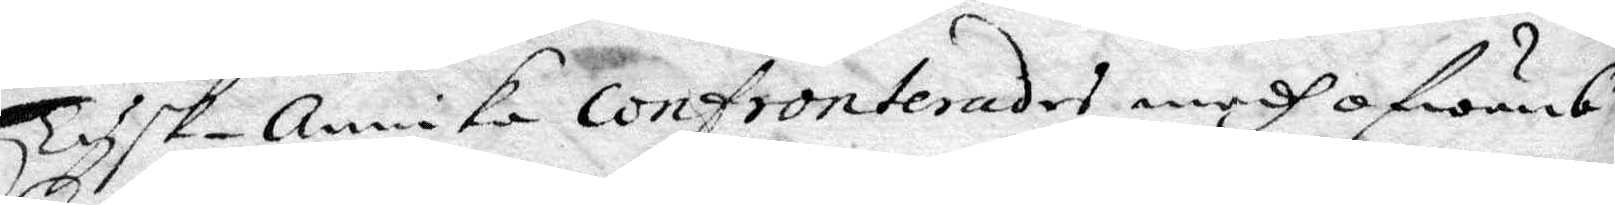Tysk-Annika confronterades medh ofwanb.te
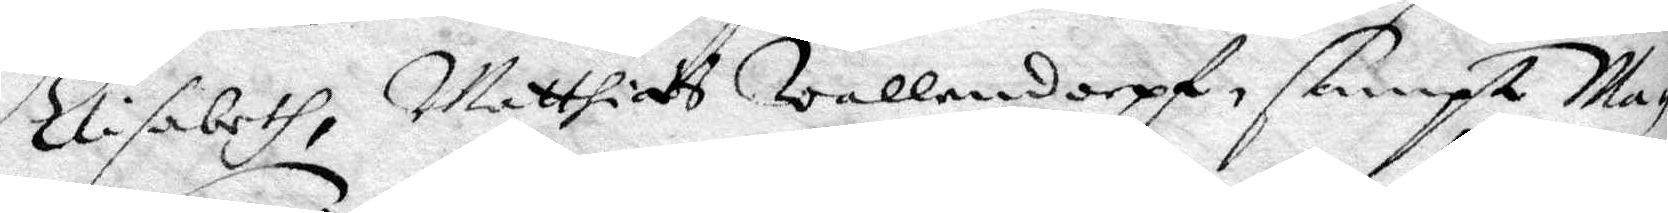Elisabeth, Matthias Wallendorpf, sampt Ma¬
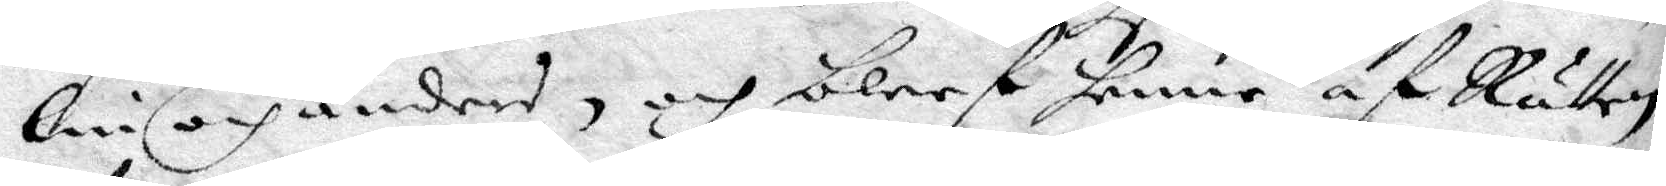lin och andres, och bleef henne af Rätten
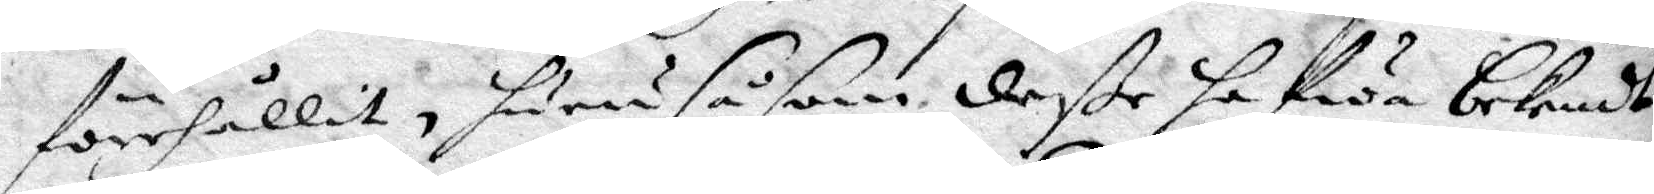förehållit, huru såsom deße hafwa bekendt
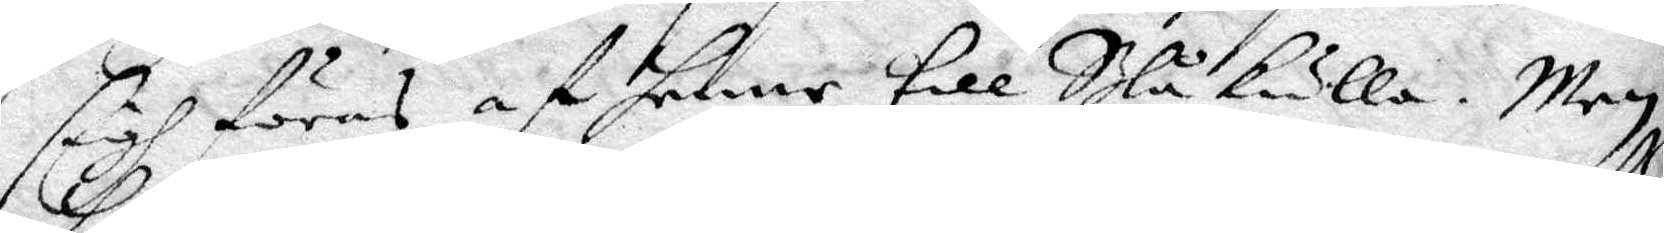sigh föras af henne till Blåkulla, men
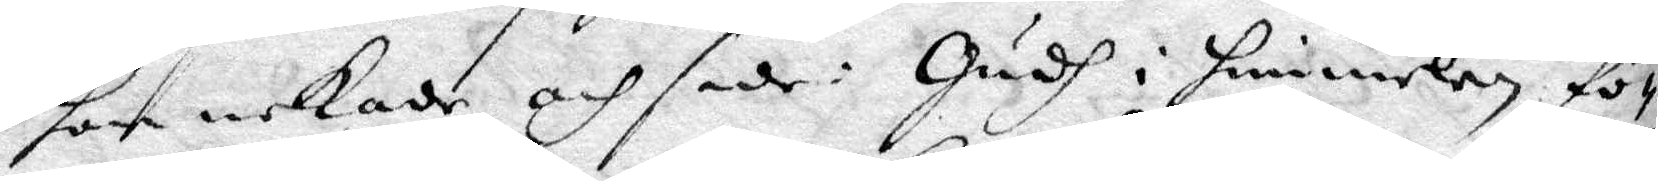hon nekade och sade: Gudh i himmelen fö¬
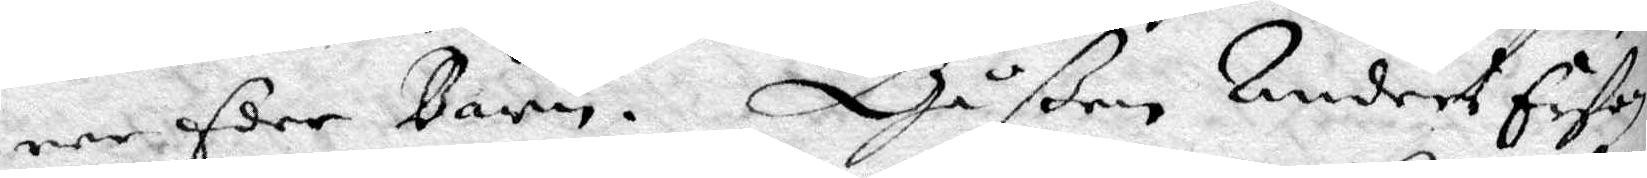rer Eder Barn. Gåßen Anders Erßon
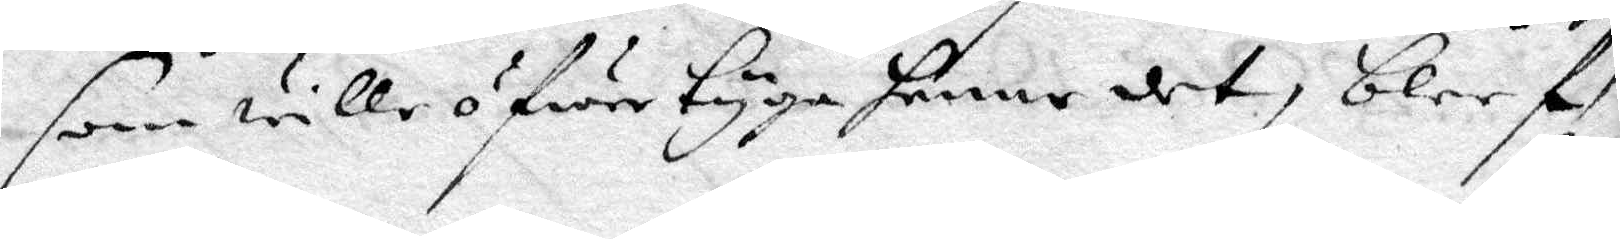som wille öfwertyga henne det, blef
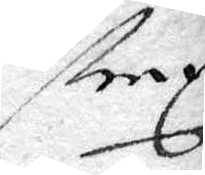strax
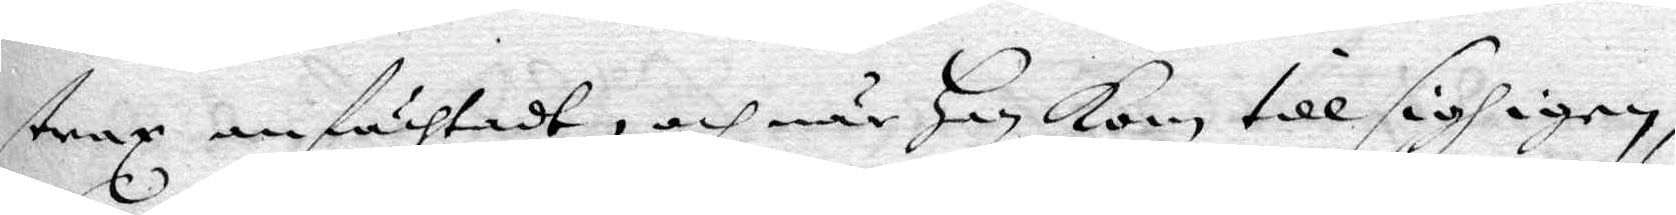strax anfächtadt, och när Han Kom till sigh igen,
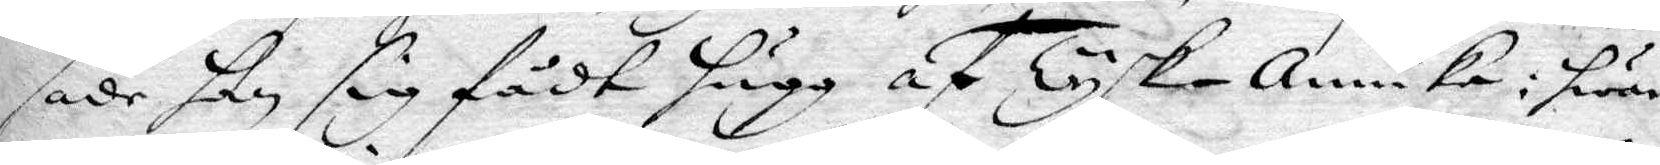sade han sig fådt hugg af Tysk-Annika: hwar
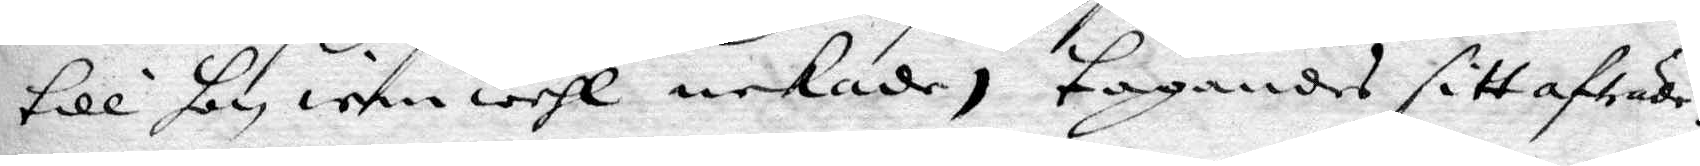till hon iemwähl nekade, tagandes sitt afträde.
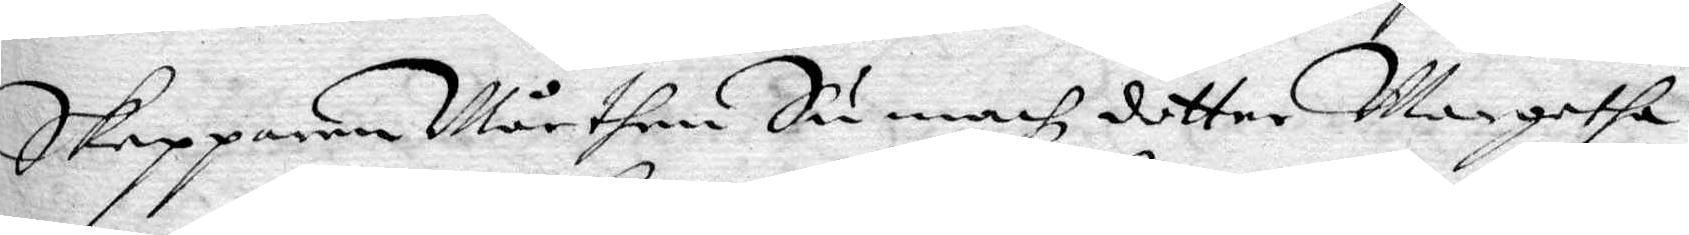Skepparen Mårthen Sumachz dotter Margetha
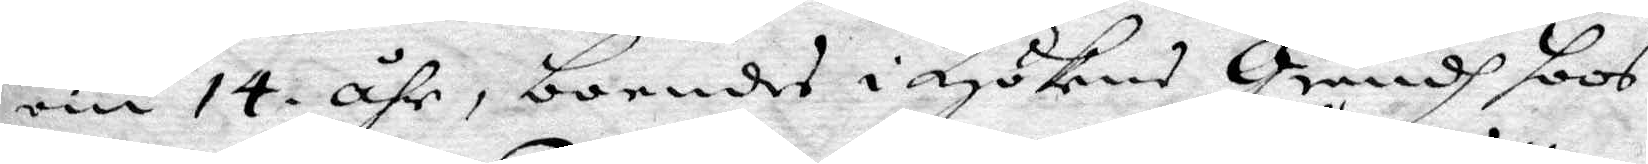om 14 åhr, boendes i Hökens Grändh hoos
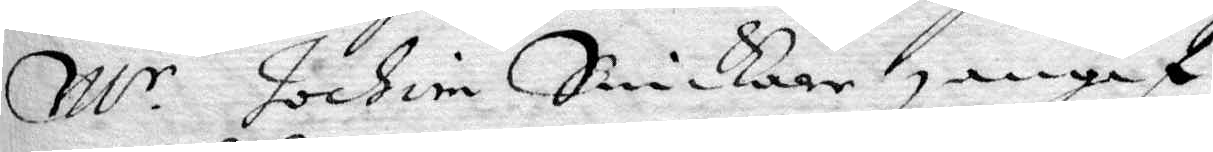M.r Jochim Snickare, angaf
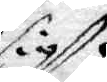sig
